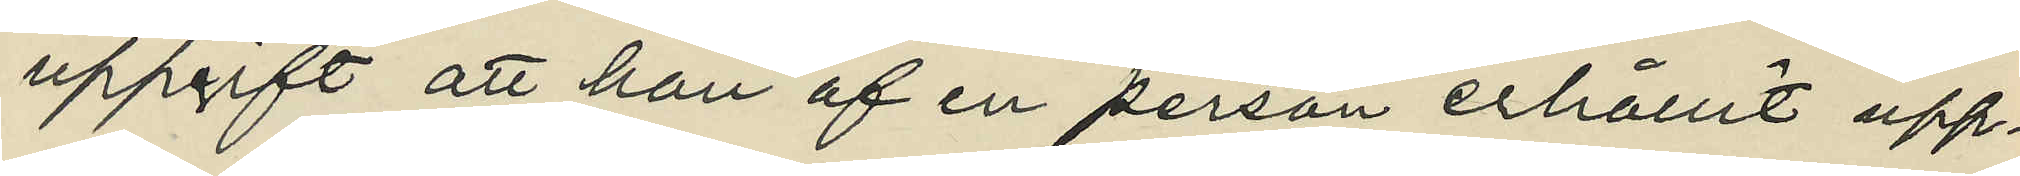uppgift att han af en person erhållit upp¬
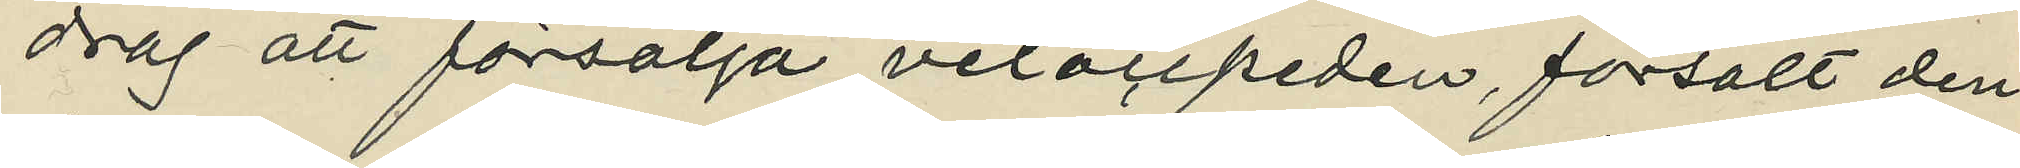drag att försälja velocipeden, försålt den¬
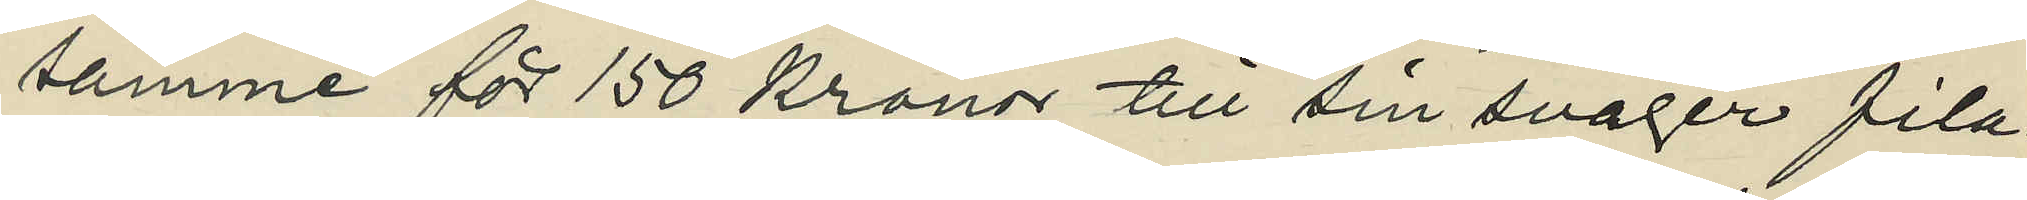samme för 150 kronor till sin svåger fila¬
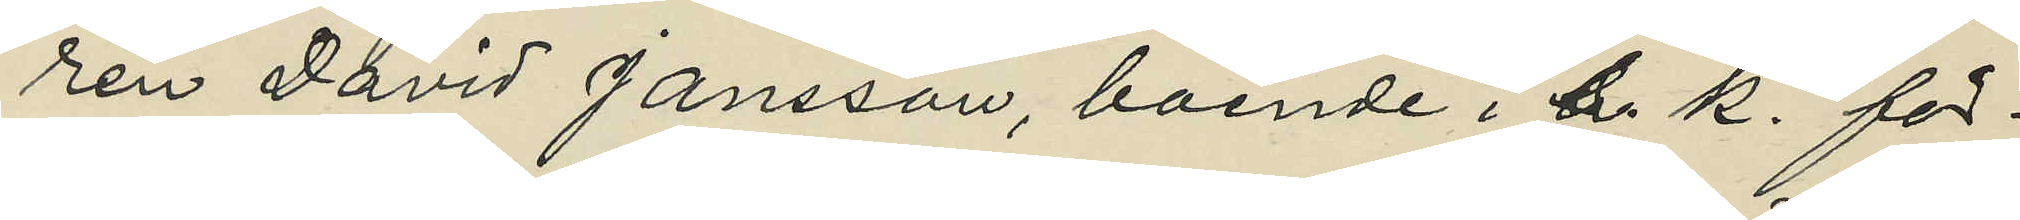ren David Jansson, boende i s. k. för¬
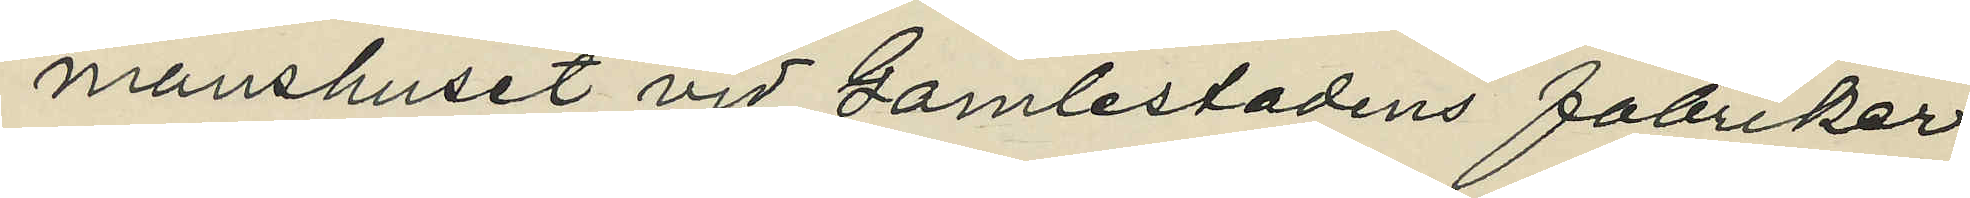manshuset vid Gamlestadens fabriker,
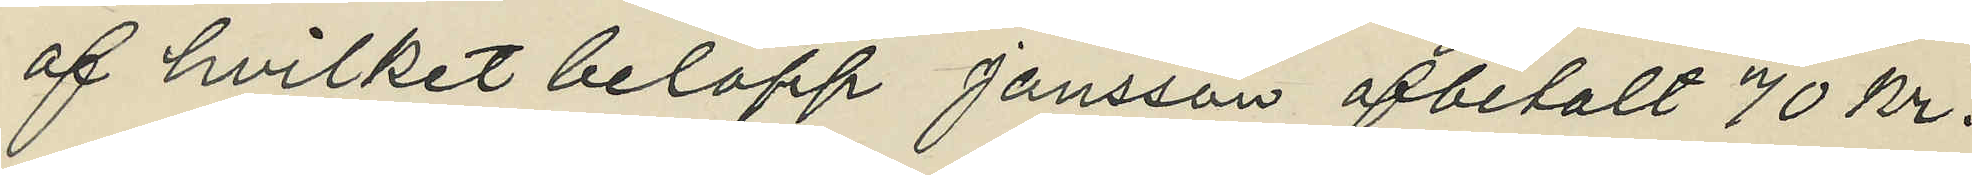af hvilket belopp Jansson afbetalt 70 kr.
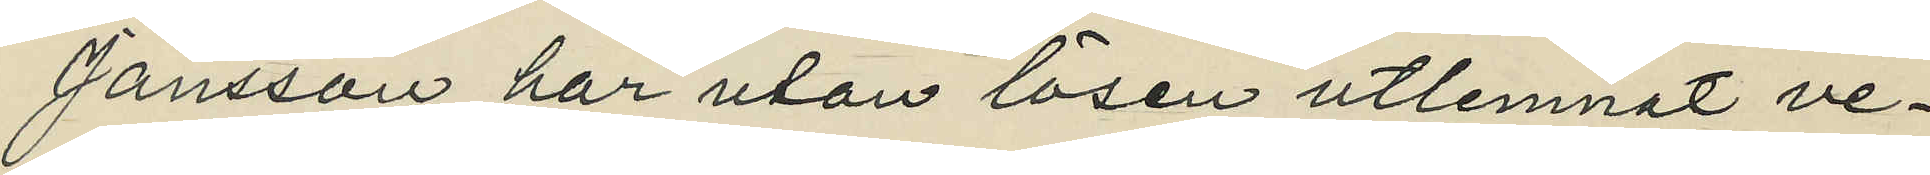Jansson har utan lösen utlemnat ve¬
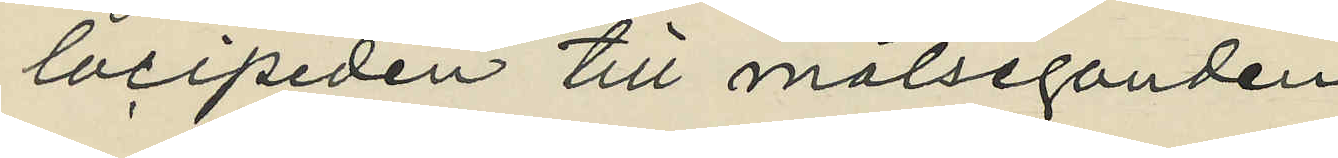locipeden till målseganden. 
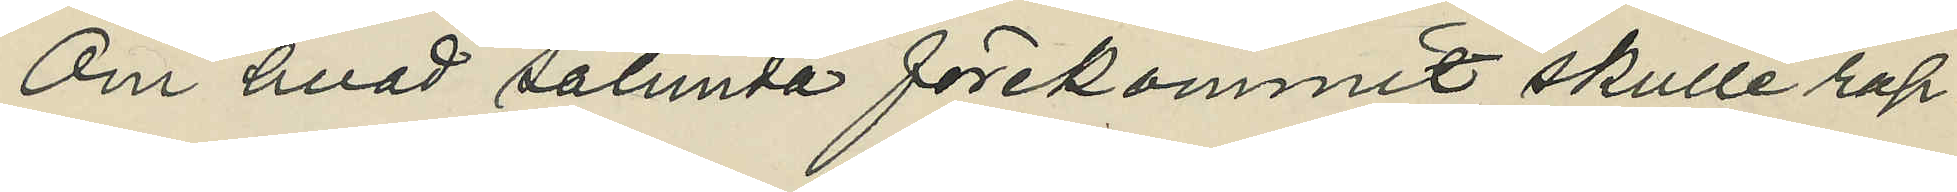Om hvad sålunda förekommit skulle rap¬
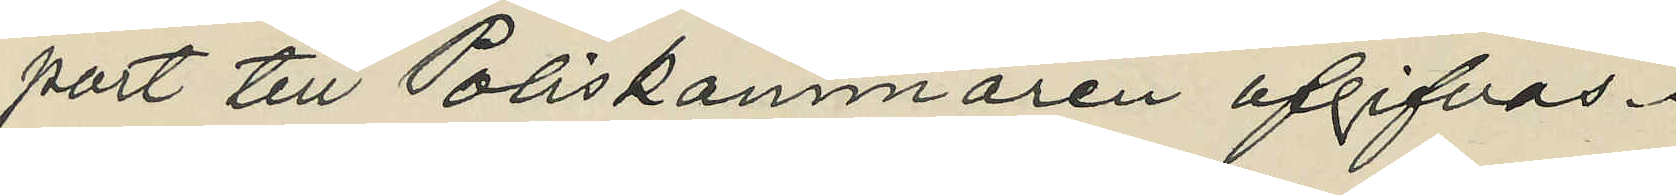port till Poliskammaren afgifvas.
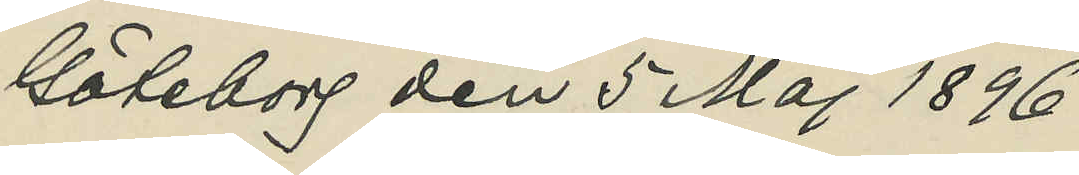Göteborg den 5 Maj 1896.
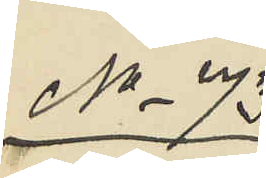No 73
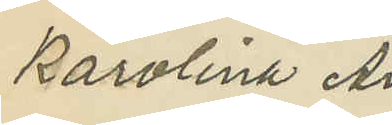Karolina An¬
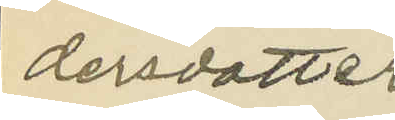dersdotter
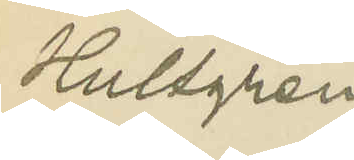Hultgren.
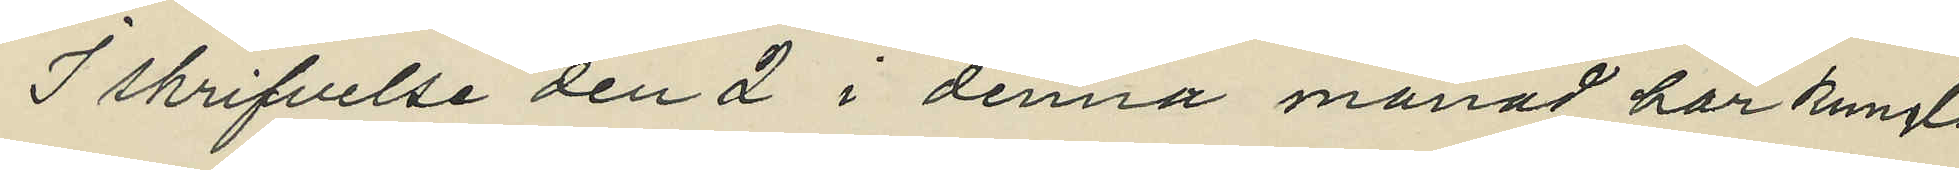I skrifvelse den 2 i denna månad har Kungl.
